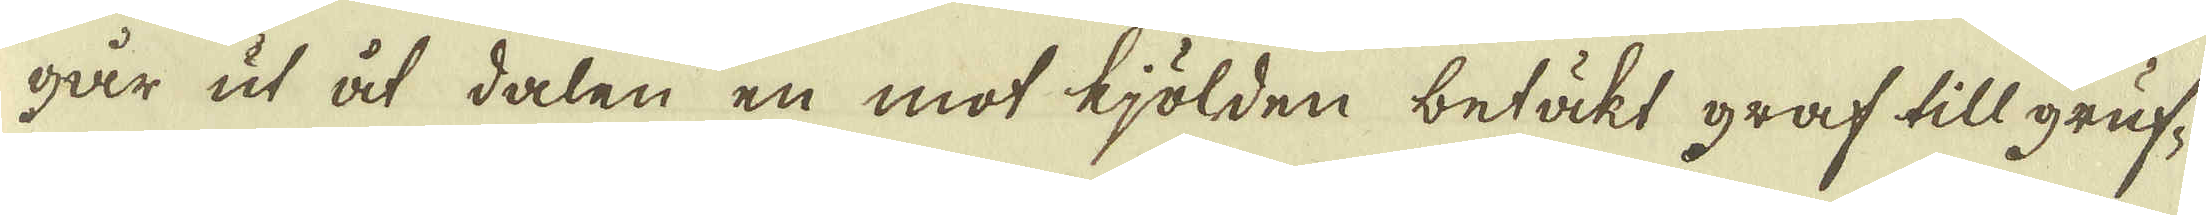går ut åt dalen en mot kjölden betäkt graf till gruf-
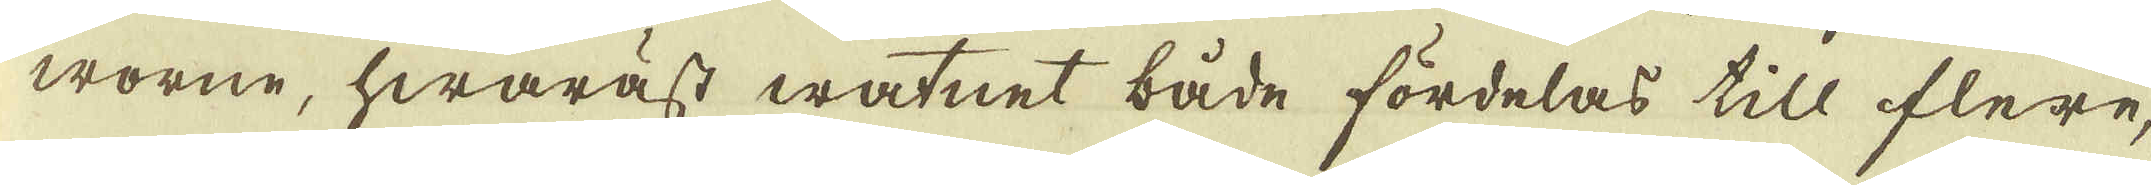worne, hwaräst watnet både fördelas till flere,
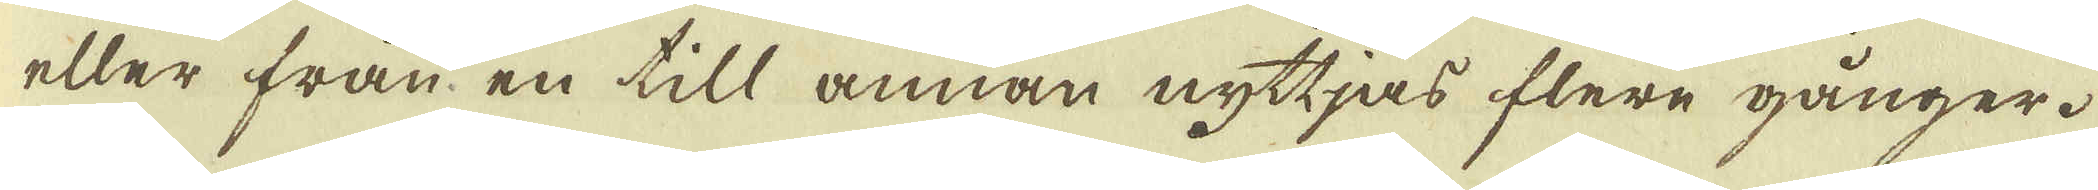eller från, en till annan nyttjas flere gånger.
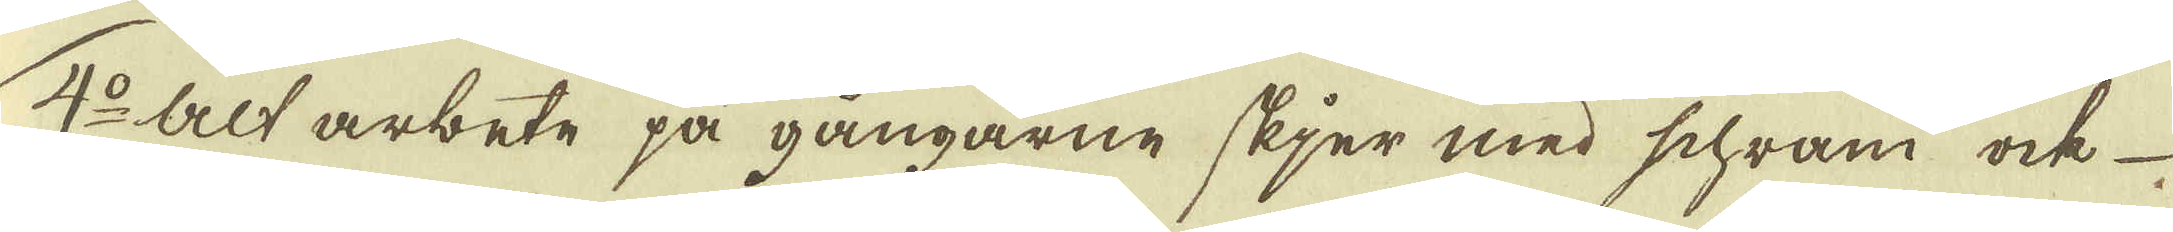4:o Alt arbete på gångarne skjer med schram ock
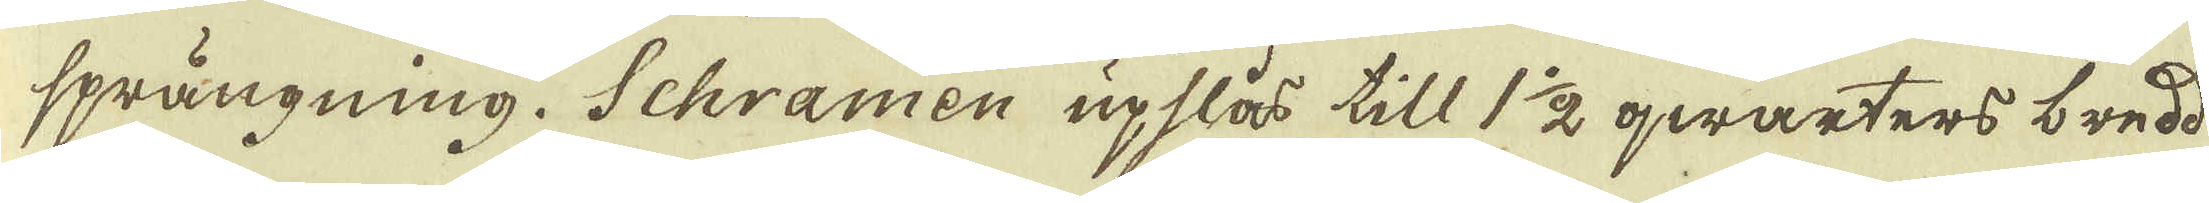sprängning. Schramen upslås till 1 1/2 qwarters bredd
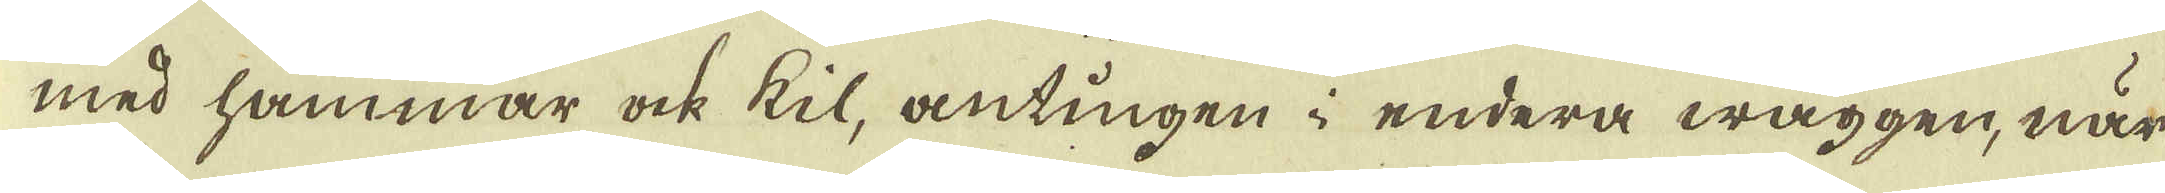med hammar ock til, antingen i endera wäggen, när
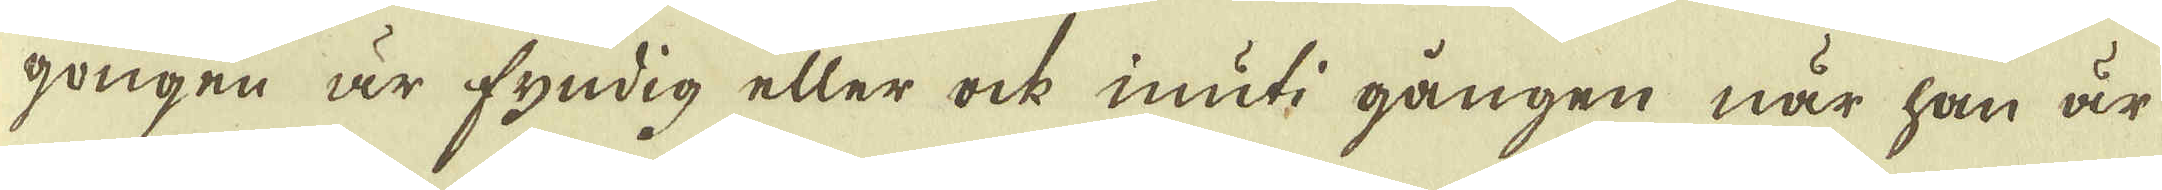gongen är fyndig eller ock inuti gången när han är
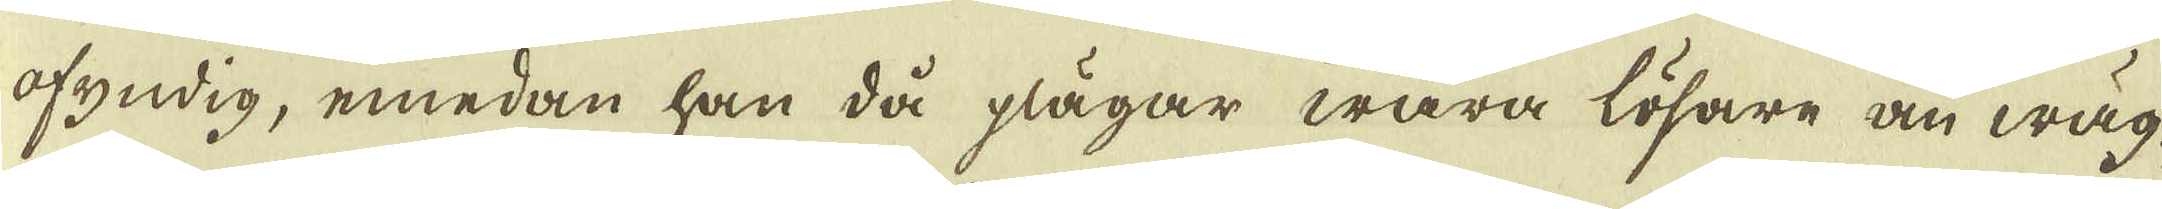ofyndig, emedan han då plägar wara lösare än wäg-
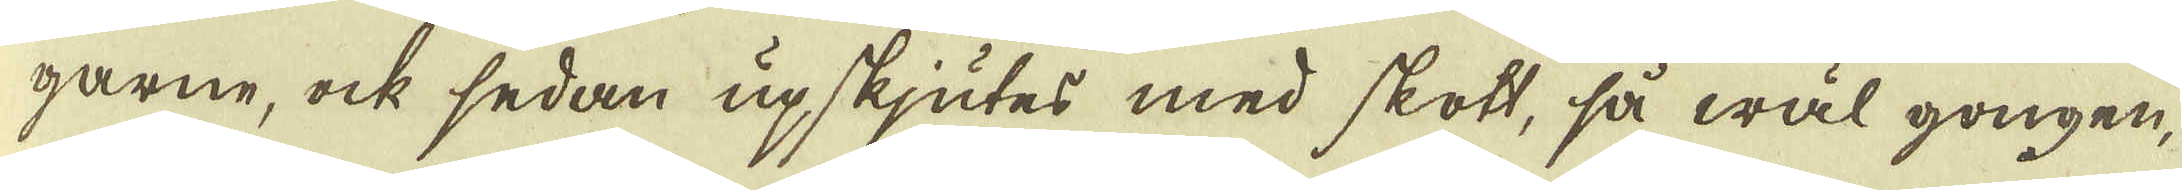garne, ock sedan upskjutes med skott, så wäl gongen,
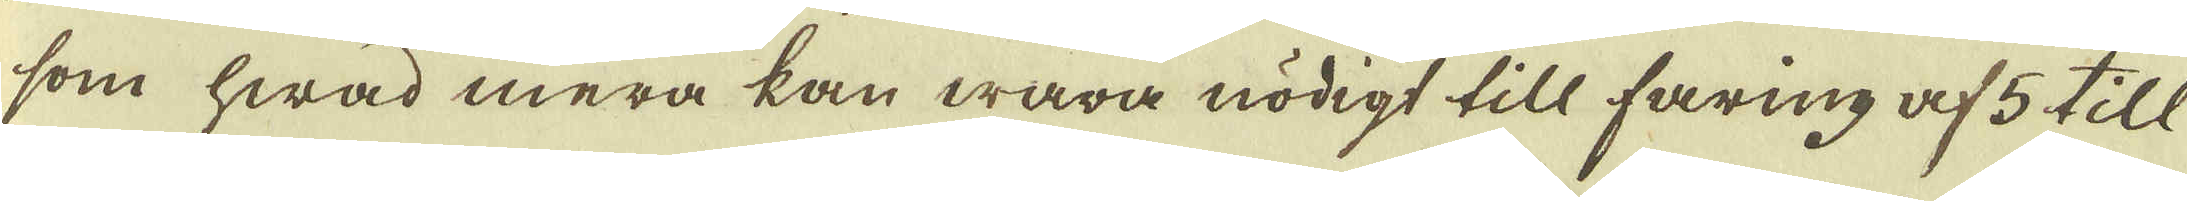som hwad mera kan wara nödigt till faring af 5 till
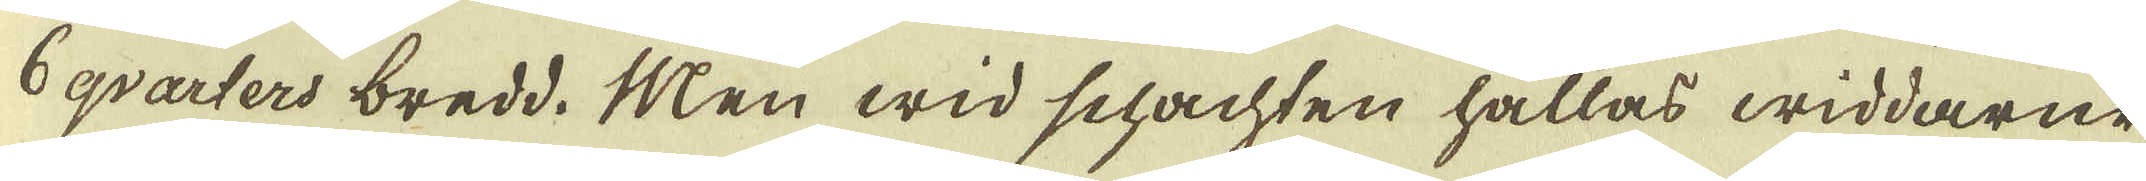6 qvarters bredd. Men wid schachten hållas widdarne
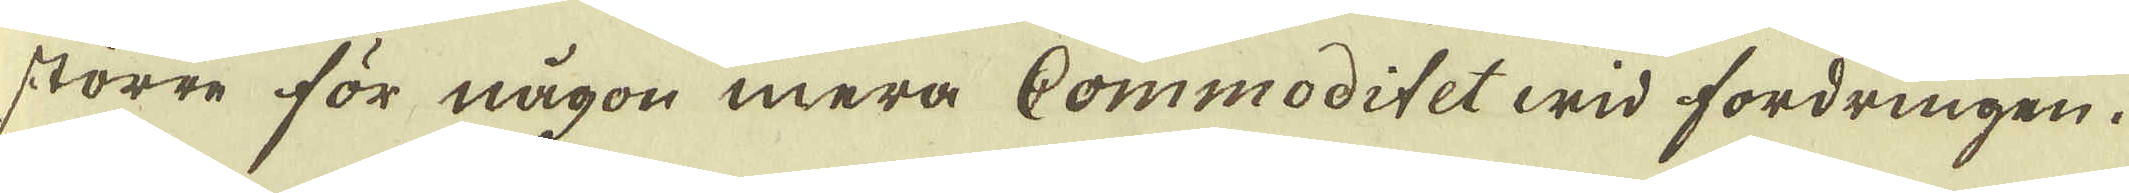större för någon mera Commoditet wid fordringen.
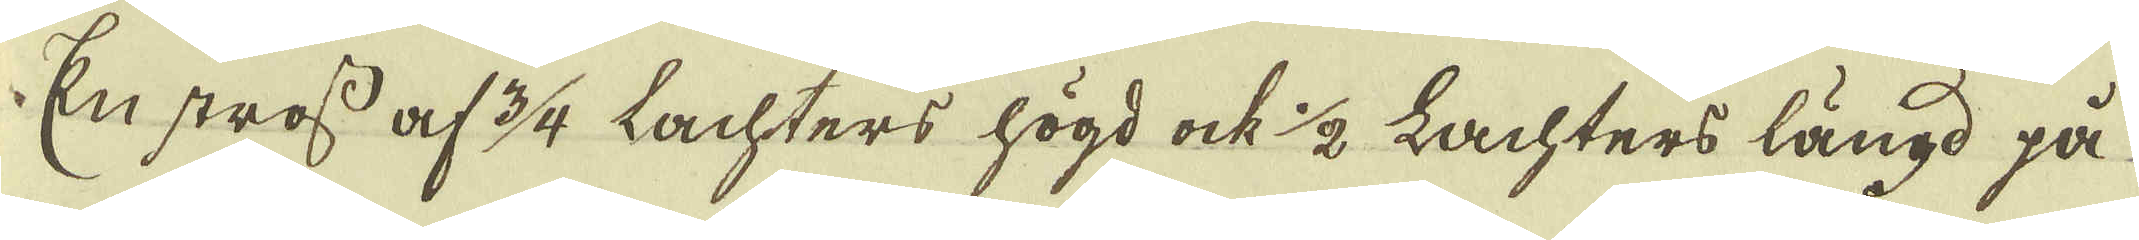En stross af 3/4 Lachters högd ock 1/2 Lachters längd på
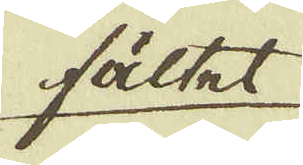fältet
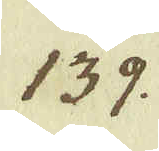139.
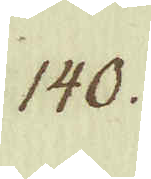140.
